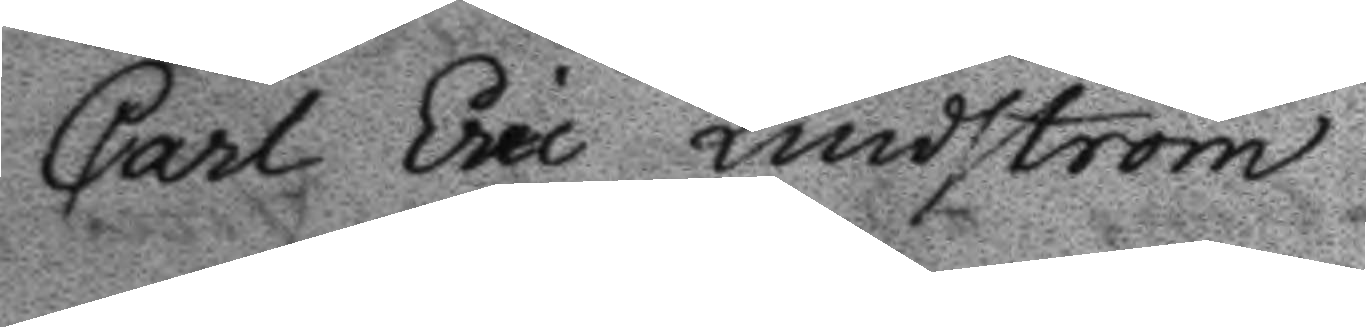Carl eric Lindström.
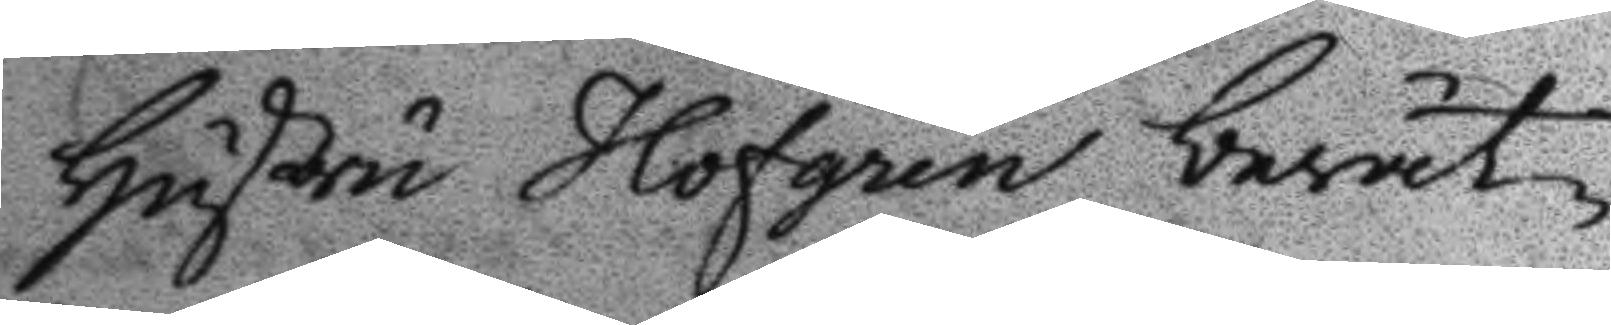Hustru Hofgren berät¬
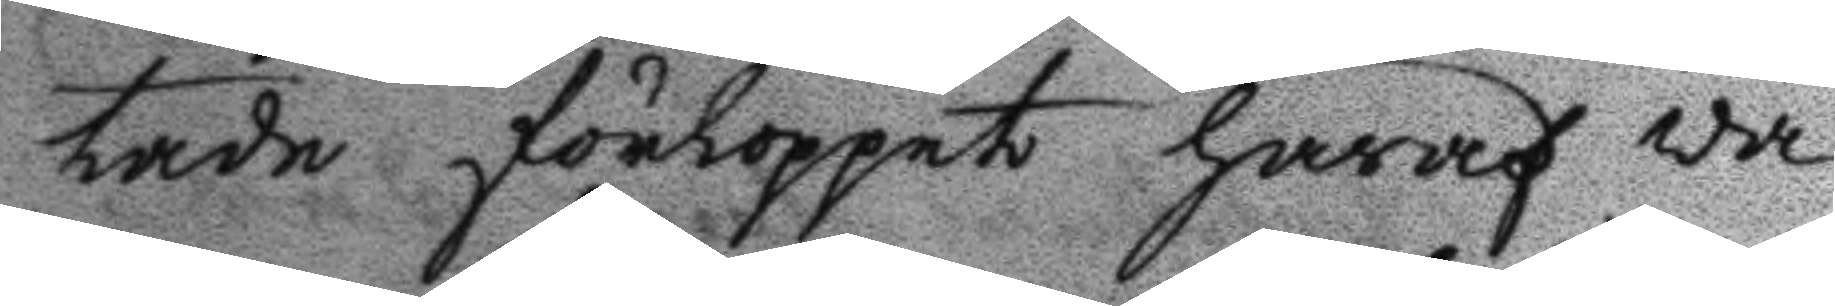tade förloppet häraf wa¬
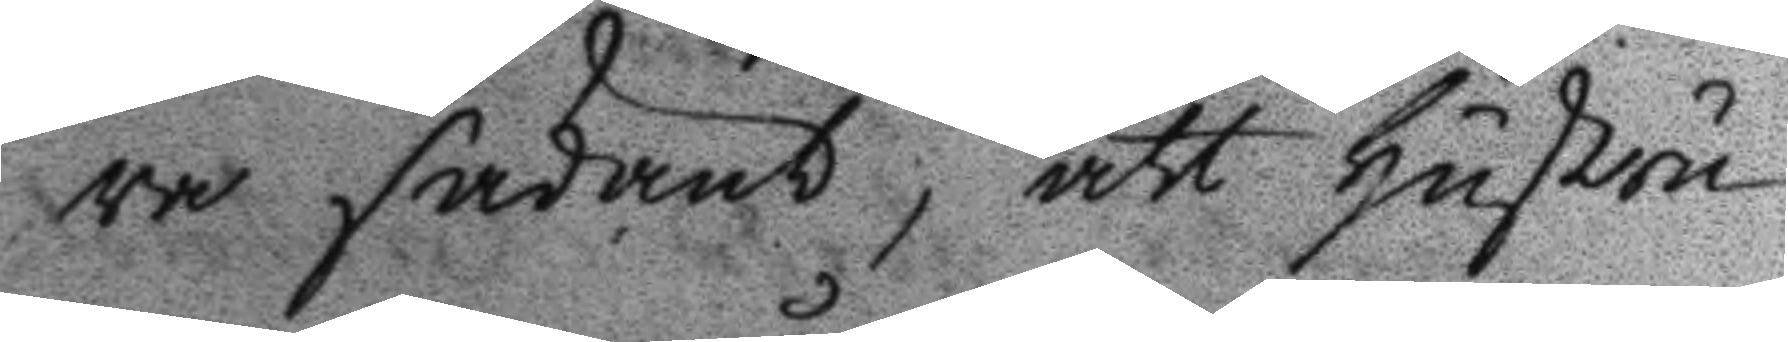ra sådant, att Hustru
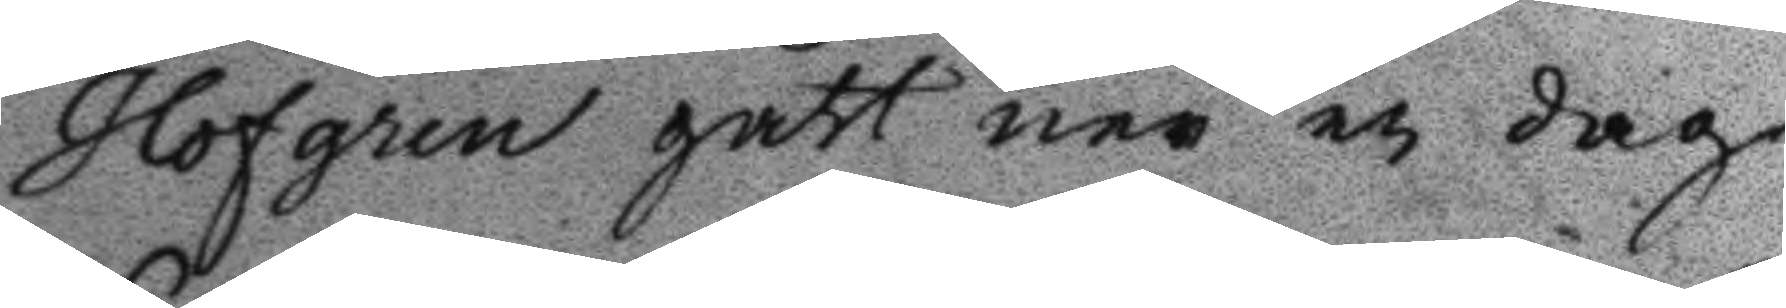Hofgren gått ner en dag
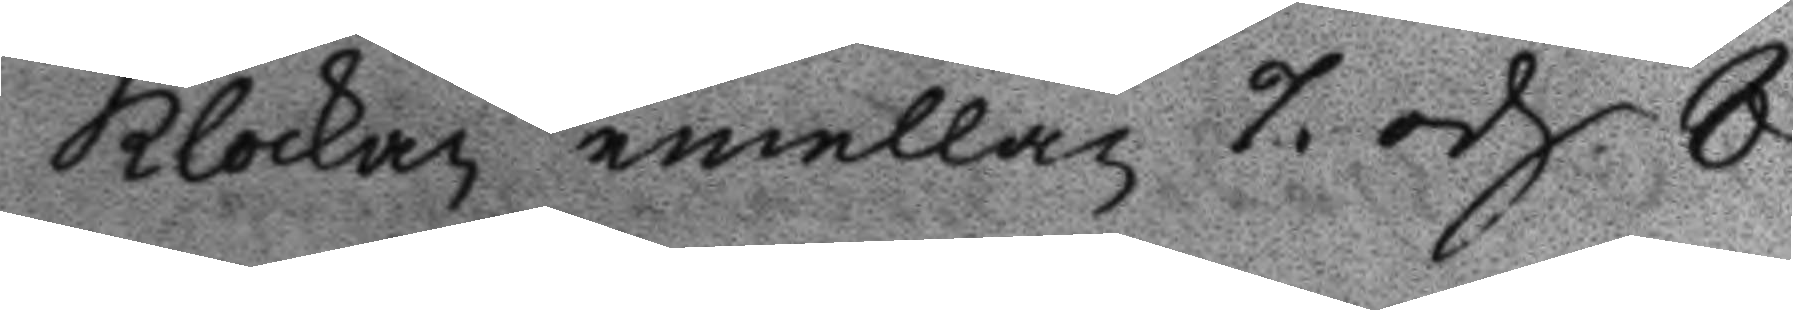klockan emellan 7. och 9
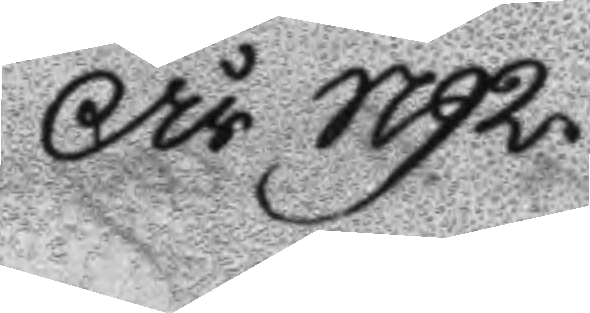År 1792
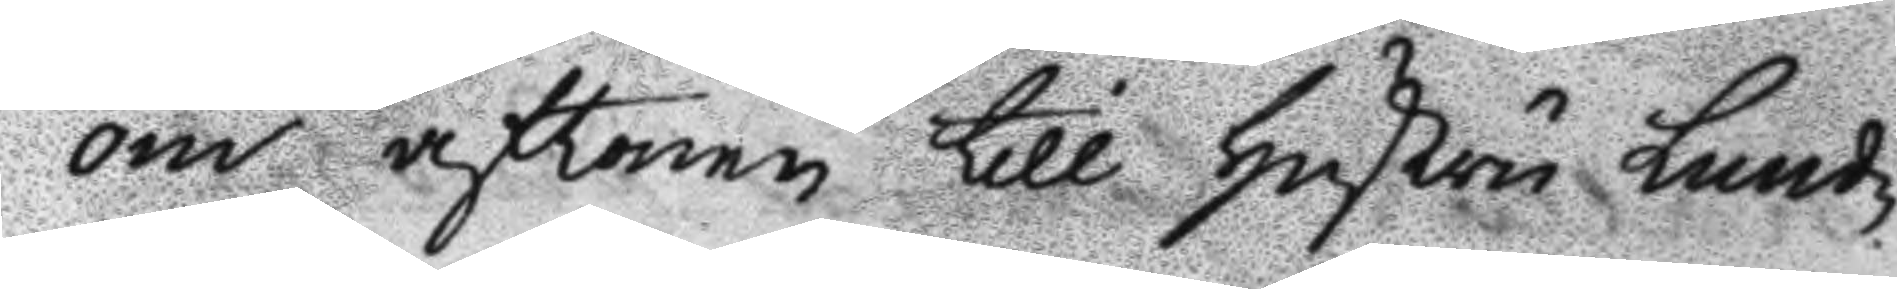om aftonen till hustru Lund¬
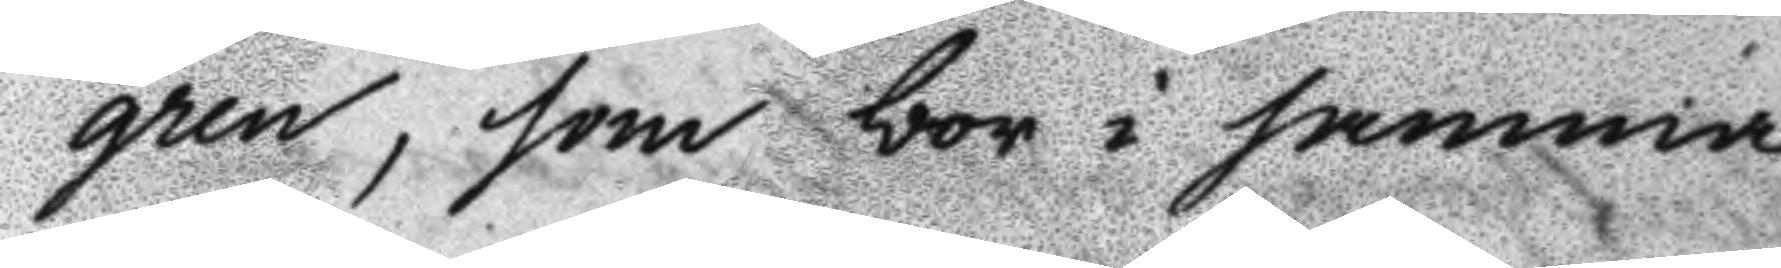gren, som bor i samma
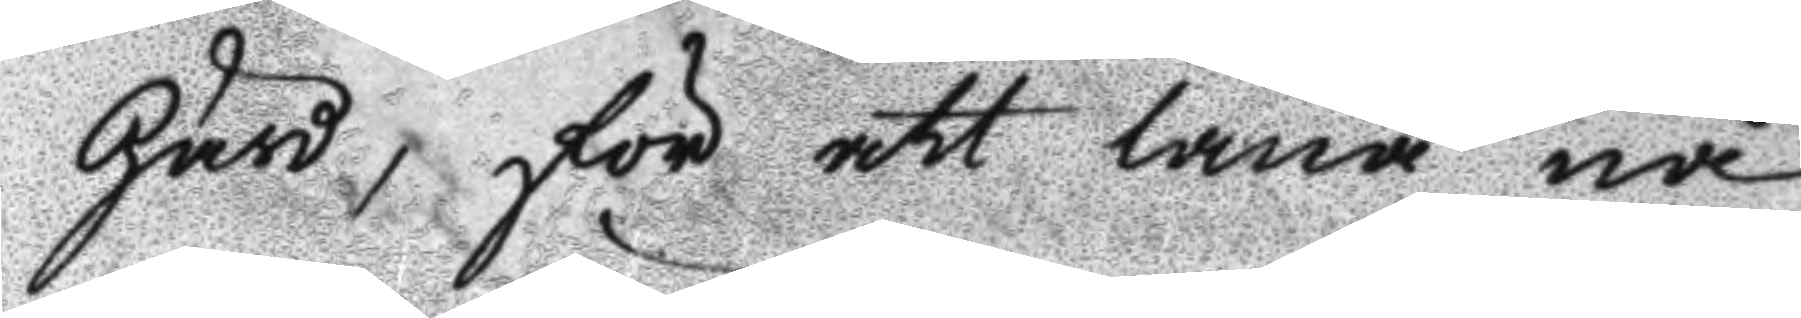Gård, för att låna nå¬
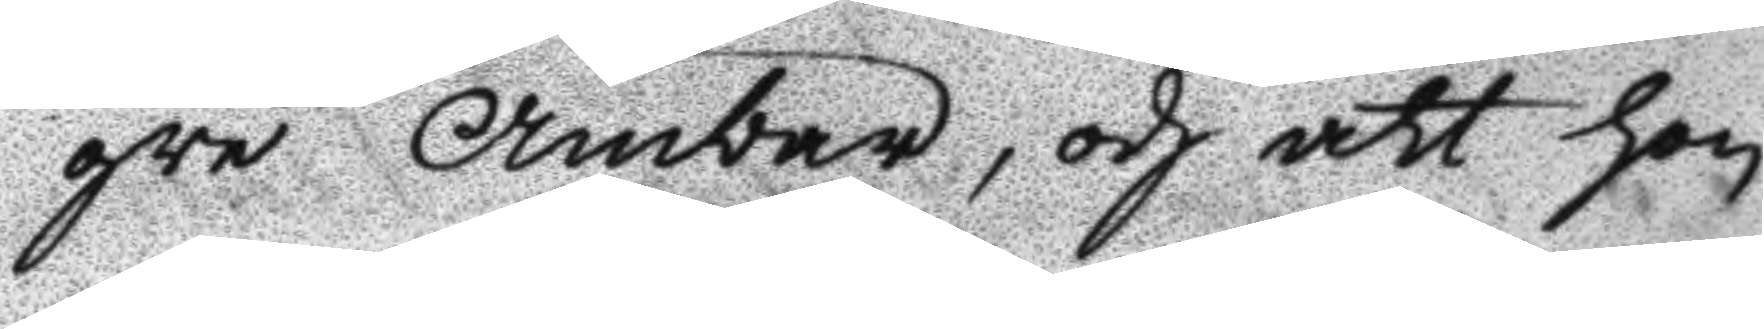gra Ämbar, och att hon
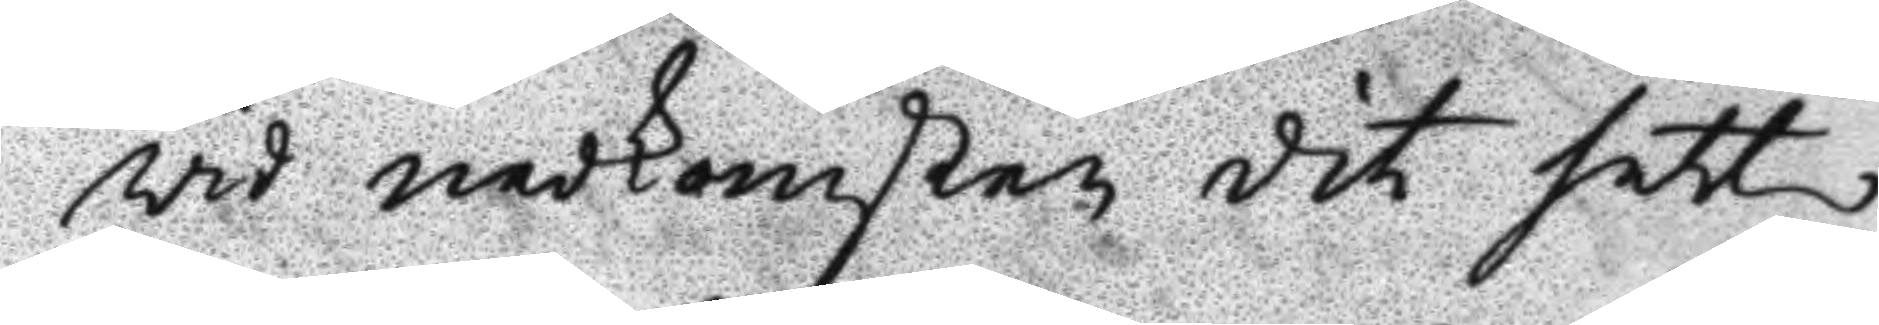vid nedkomsten dit sett
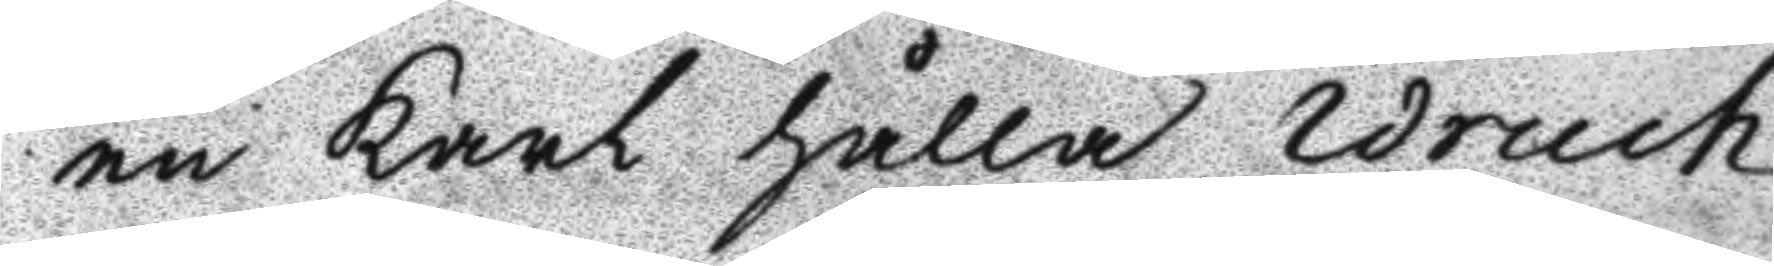en karl hålla Wruch
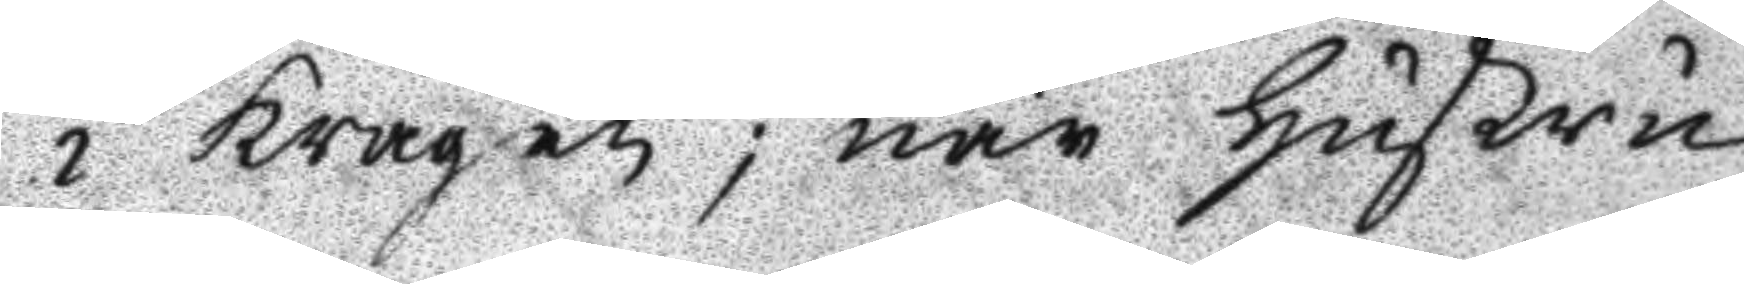i kragen; när Hustru
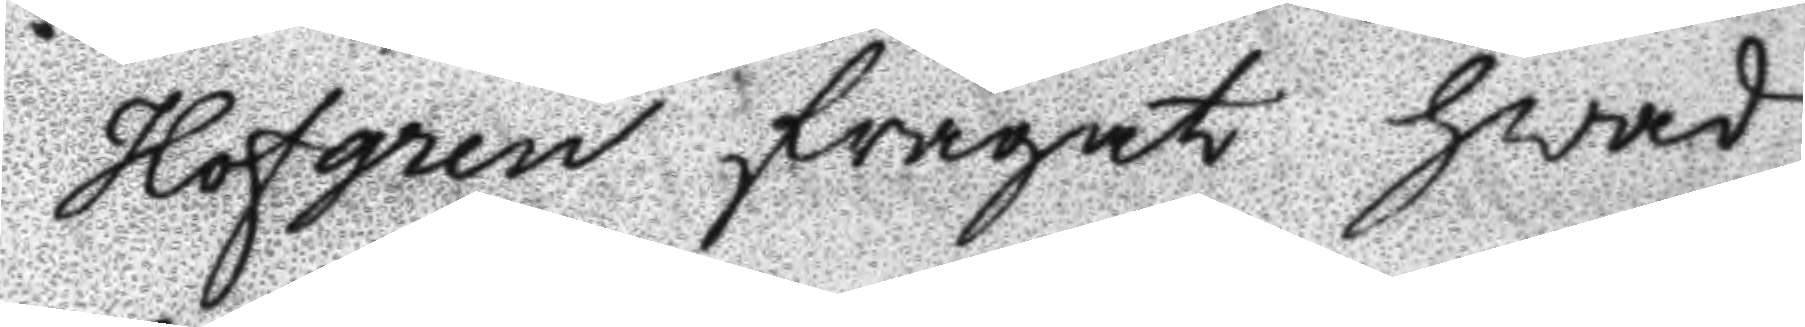Hofgren frågat hvad
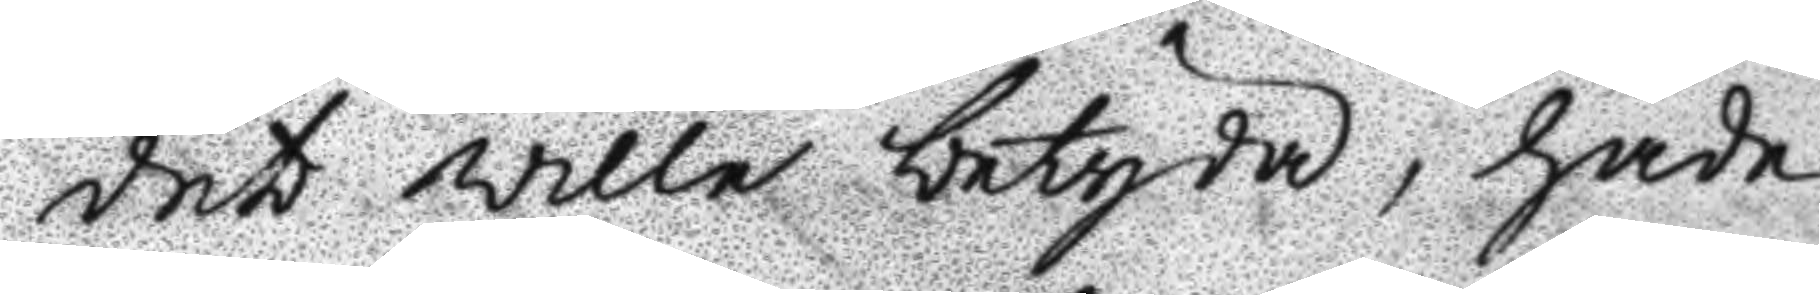det ville betyda, hade
